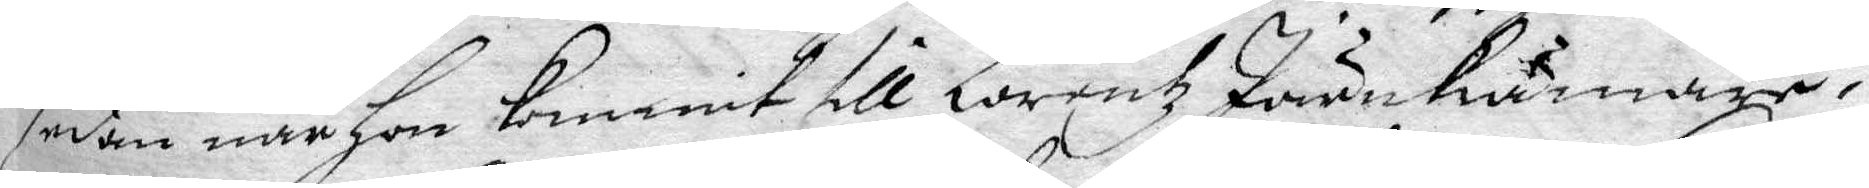sedan när hon kommit till Lorentz Järnkrämare,
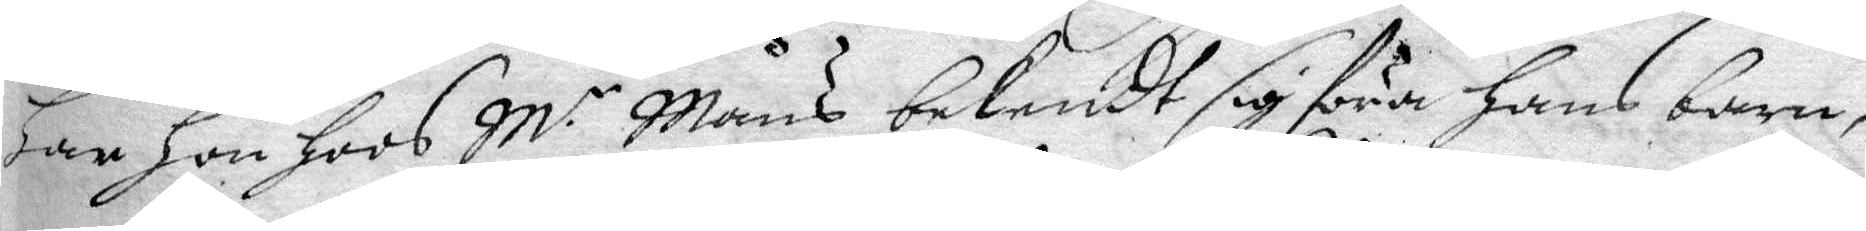har hon hoos M.r Måns bekendt sig föra hans barn,
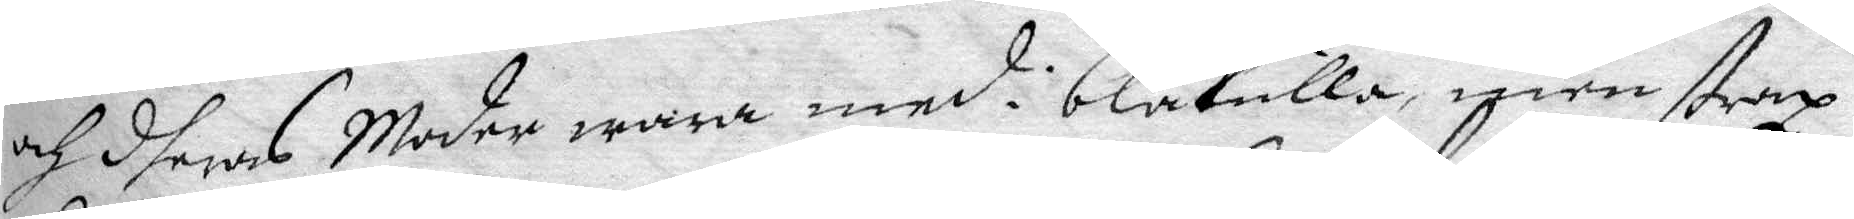och dheras Moder wara med i blåkulla, men straz
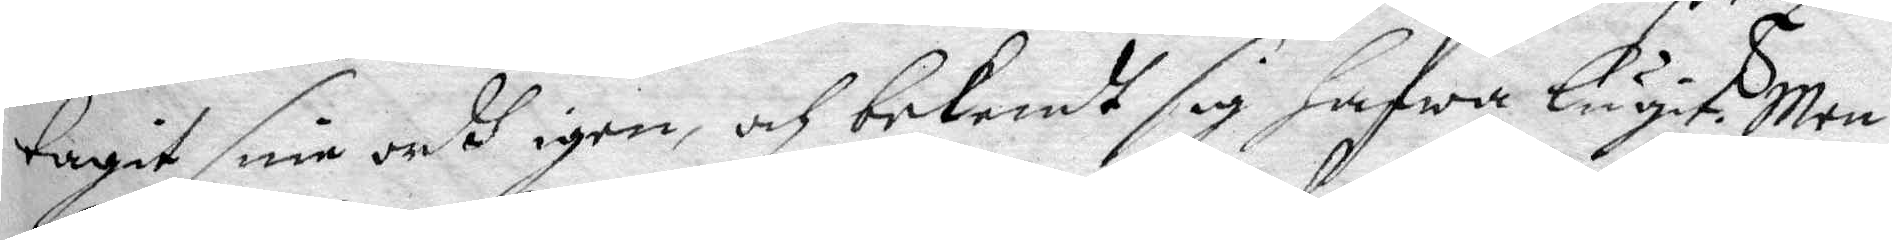tagit sine ordh igen, och bekendt sig hafwa lugit. Men
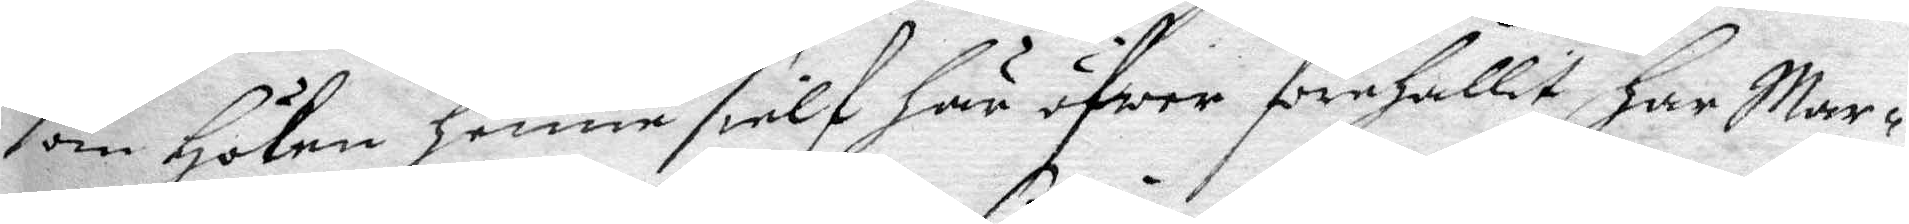som Höken henne sielf här öfwer förehållit har Mar¬
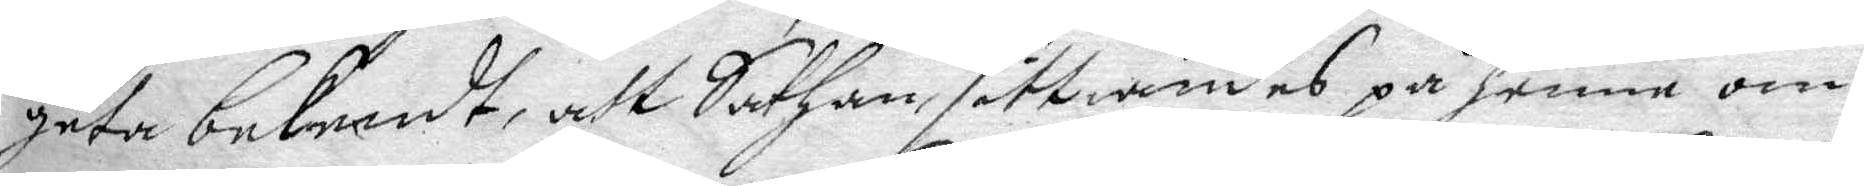geta bekendt, att Sathan, sittiandes på henne om
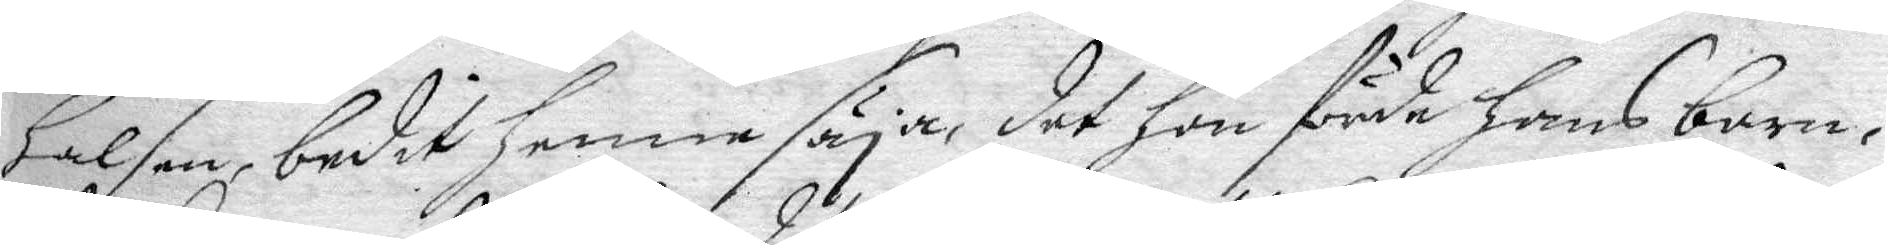halsen, bedit henne säja, det hon förde hans barn,
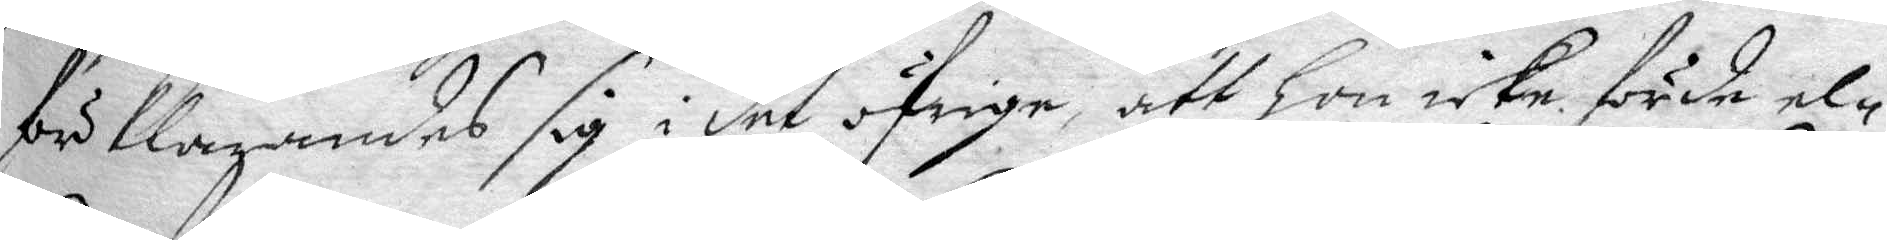förklarandes sig i det öfrige, att hon icke förde el¬
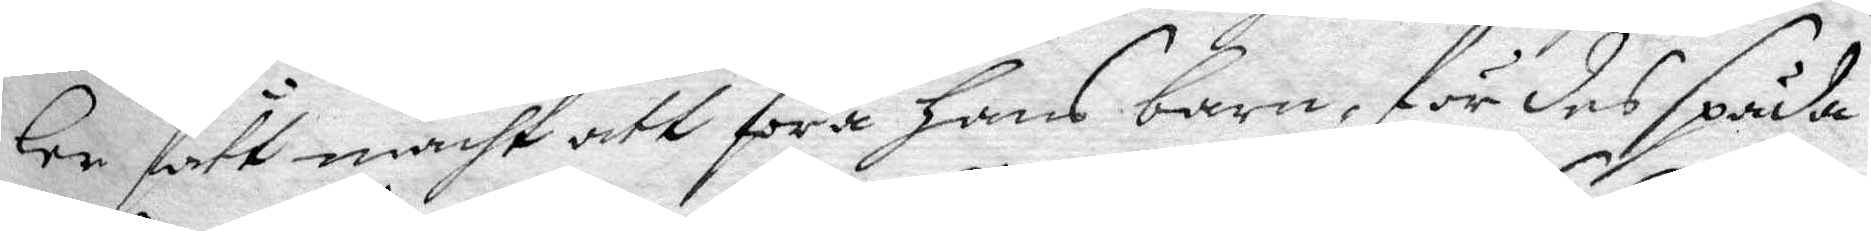ler fått macht att föra hans barn, för des späda
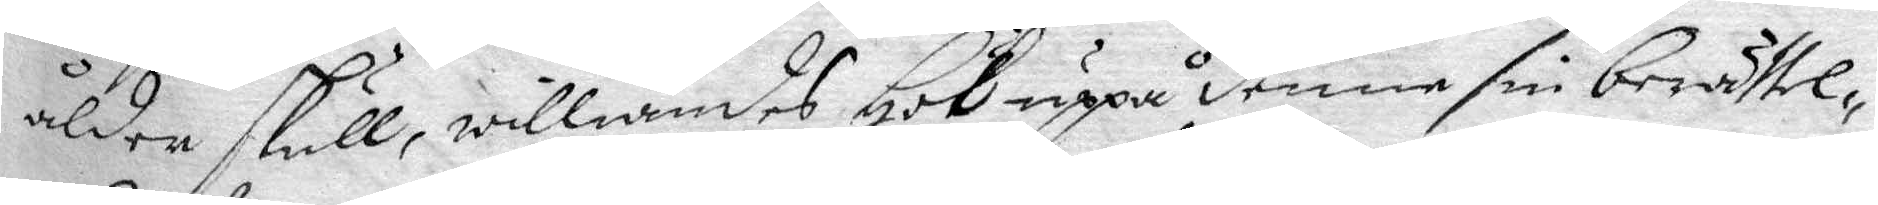ålder skull, williandes Hök uppå denne sin berättel¬
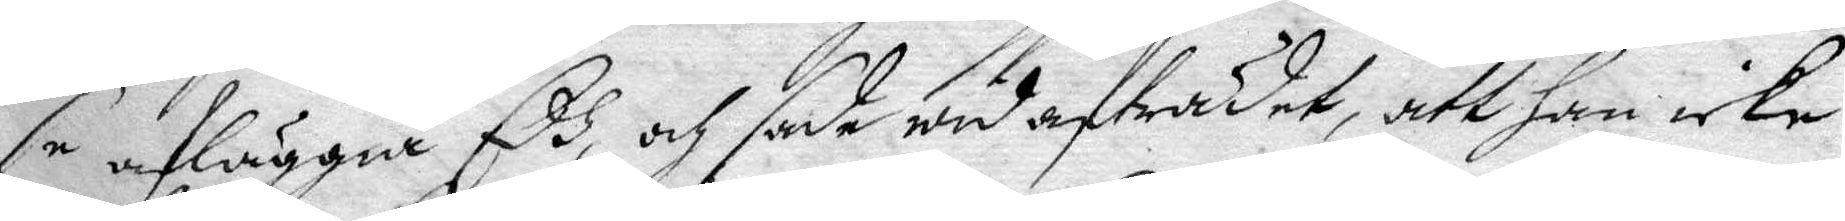se afläggia Eed, och sade wid afträdet, att han icke
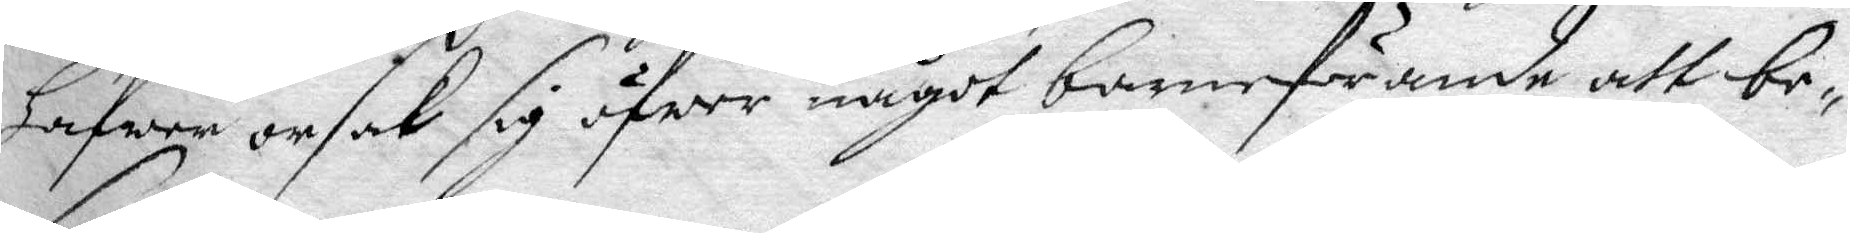hafwer orsak sig öfwer något barnaförande att be¬
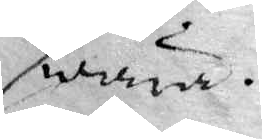swära.
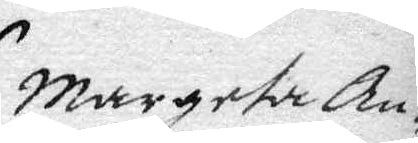Margeta An¬
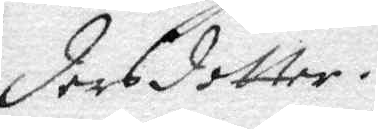dersdotter.
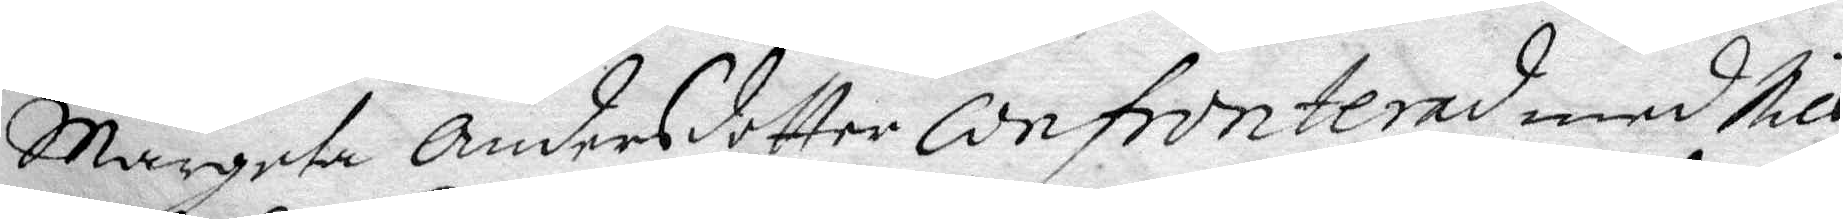Margeta Andersdotter confronterad med Nils
